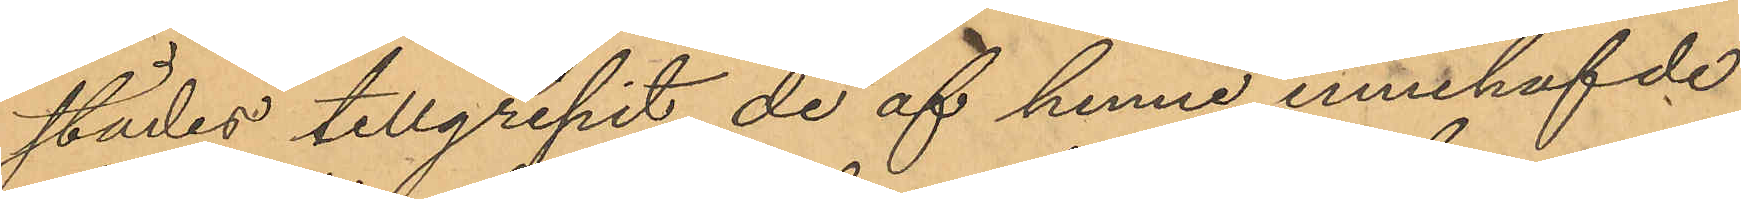städes tillgripit de af henne innehafvde
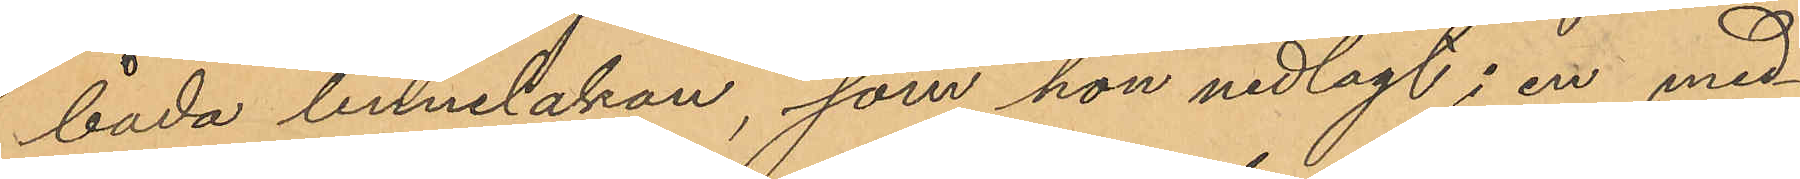båda linnelakan, som hon nedlagt i en med¬
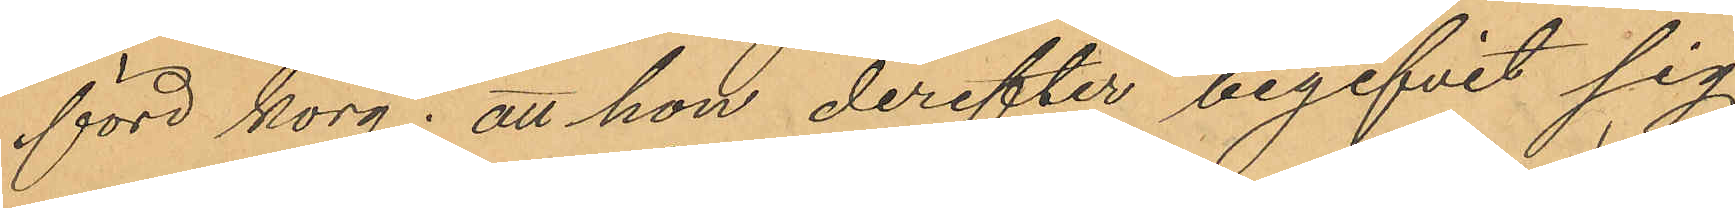förd korg; att hon derefter begifvit sig
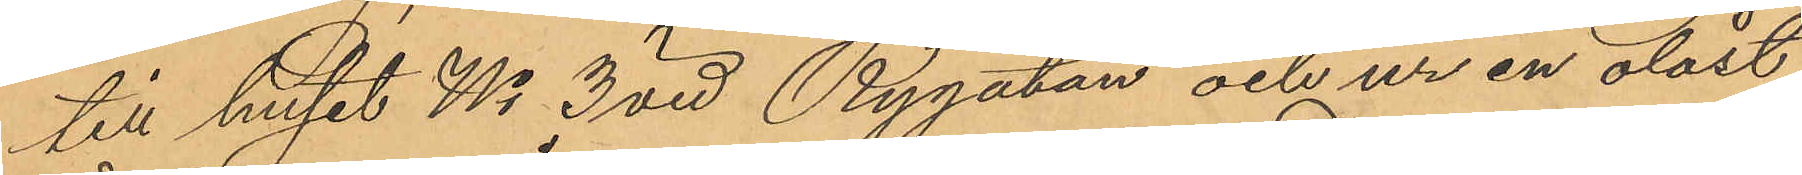till huset No 3 vid Rygatan och ur en olåst
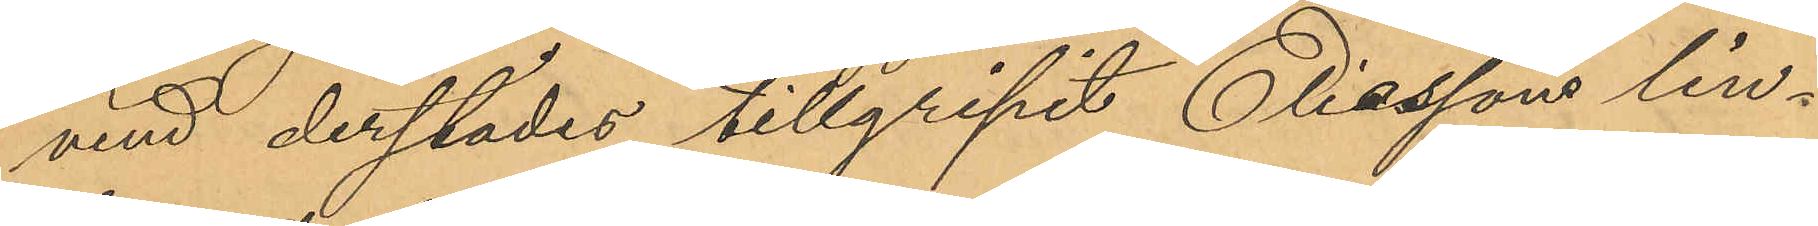vind derstädes tillgripit Eliassons lin¬
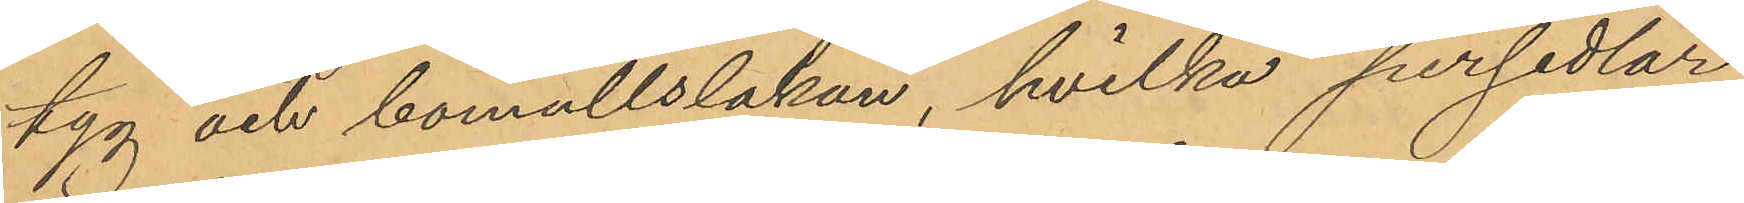tyg och bomullslakan, hvilka persedlar
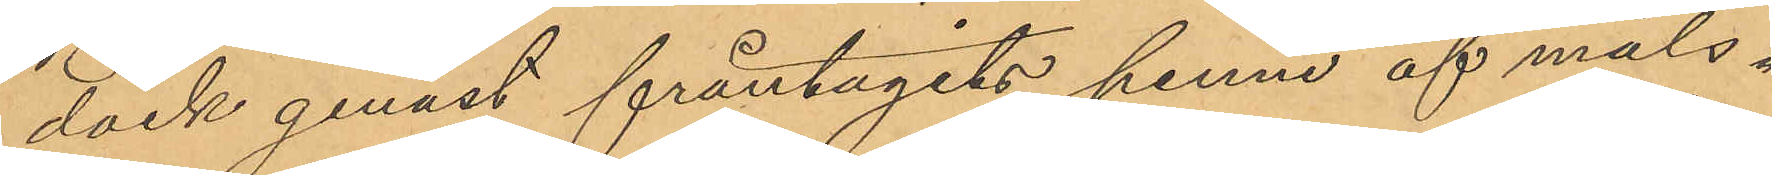dock genast fråntagits henne af måls¬
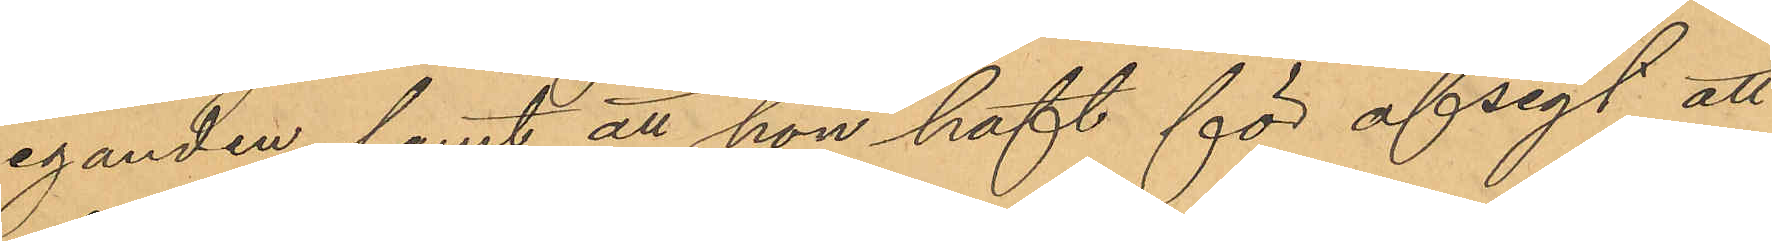eganden samt att hon haft för afsigt att
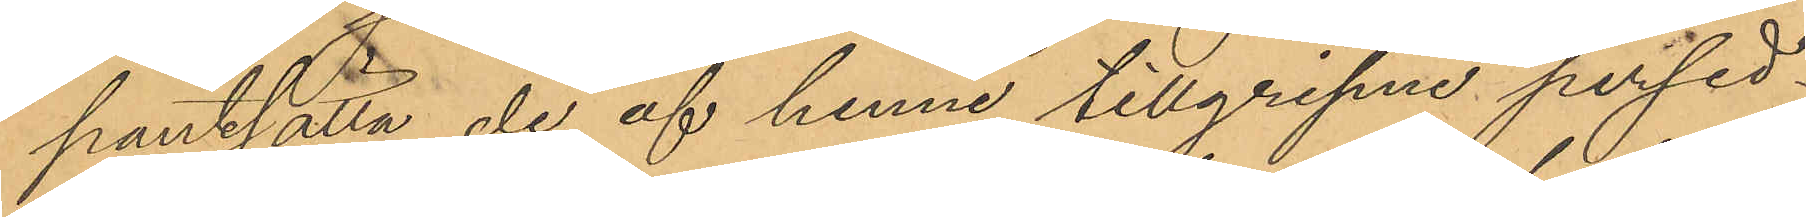pantsätta de af henne tillgripne persed¬
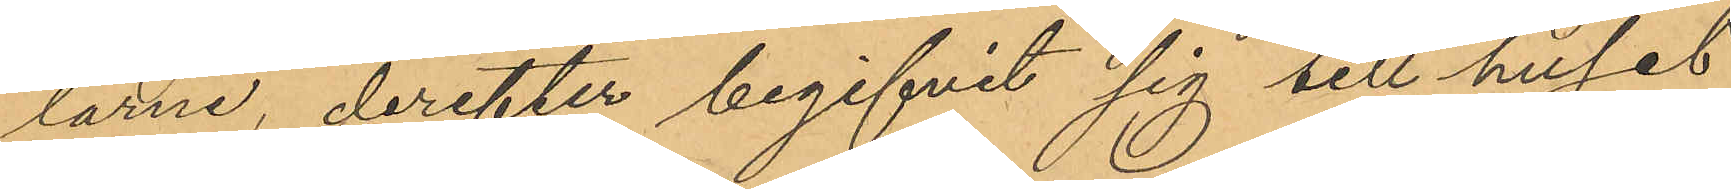larne, derefter begifvit sig till huset
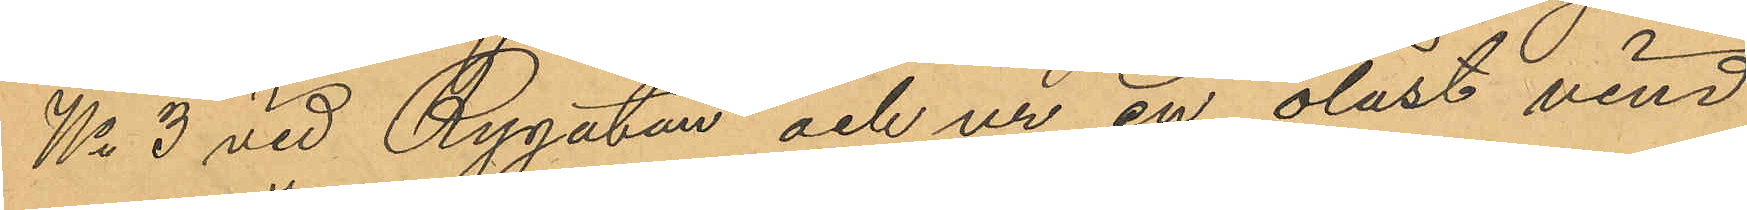No 3 vid Rygatan och ur en olåst vind
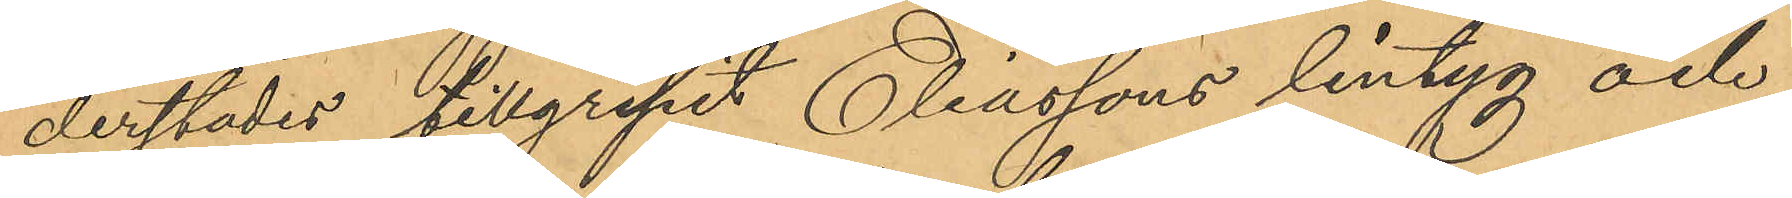derstädes tillgripit Eliassons lintyg och
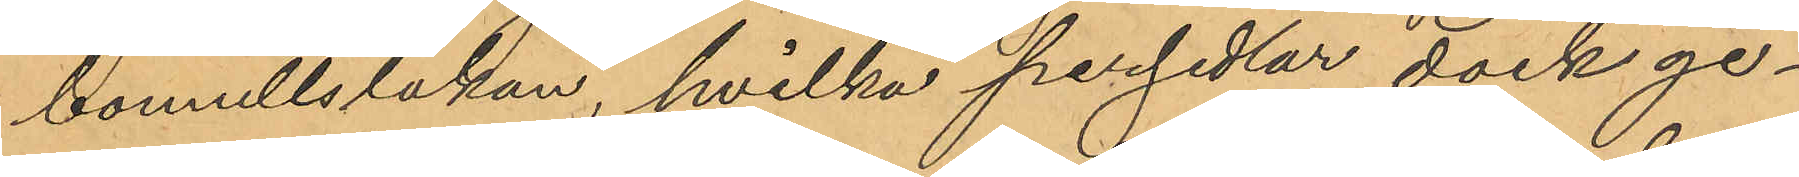bomullslakan, hvilka persedlar dock ge¬
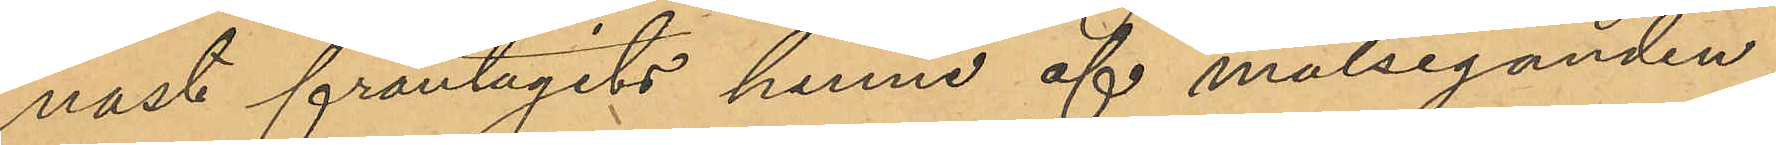nast fråntagits henne af målseganden
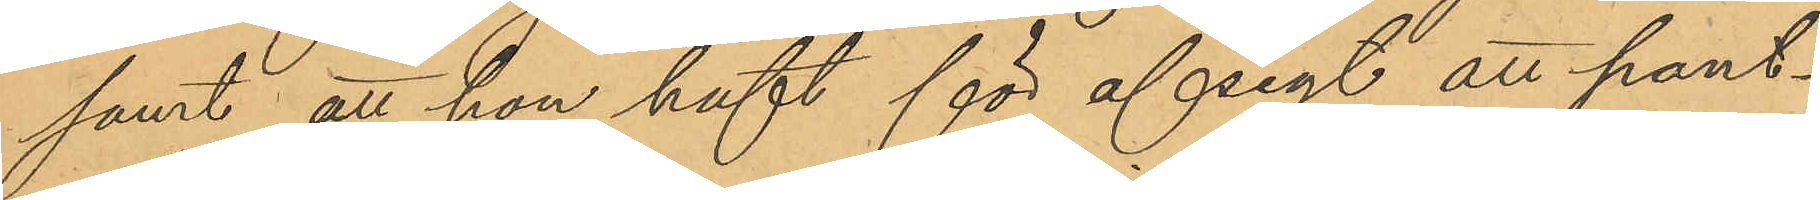samt att hon haft för afsigt att pant¬
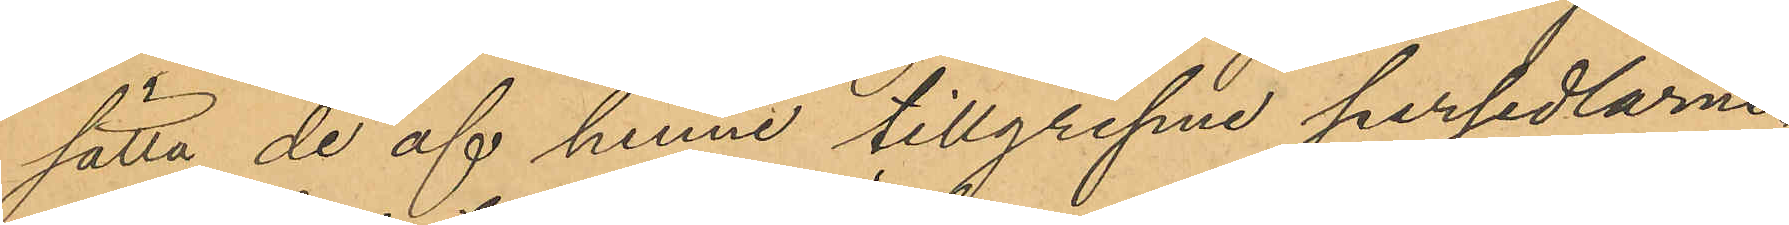sätta de af henne tillgripne persedlarne.
